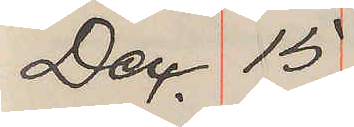Dec. 15.
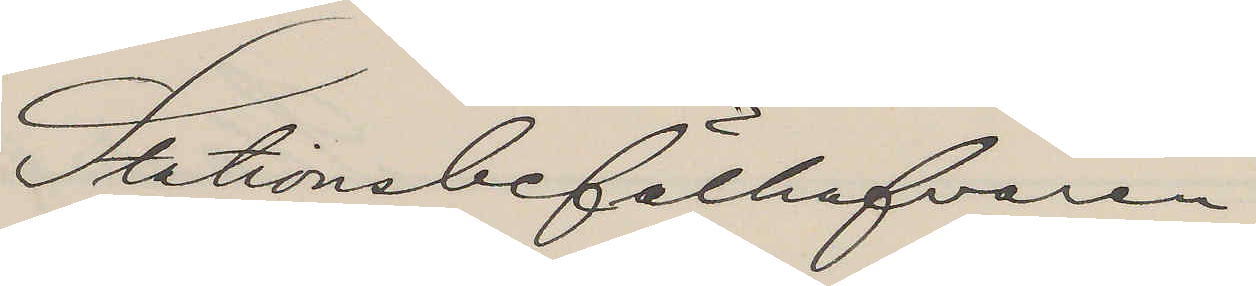Stationsbefälhafvaren
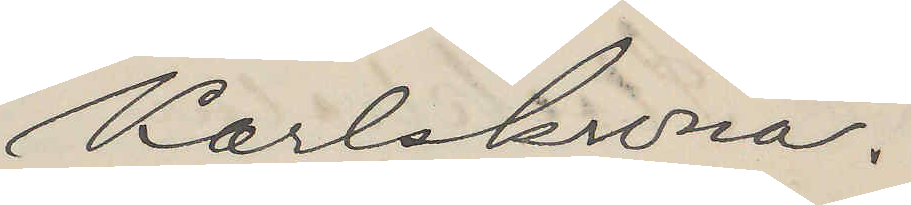Karlskrona.
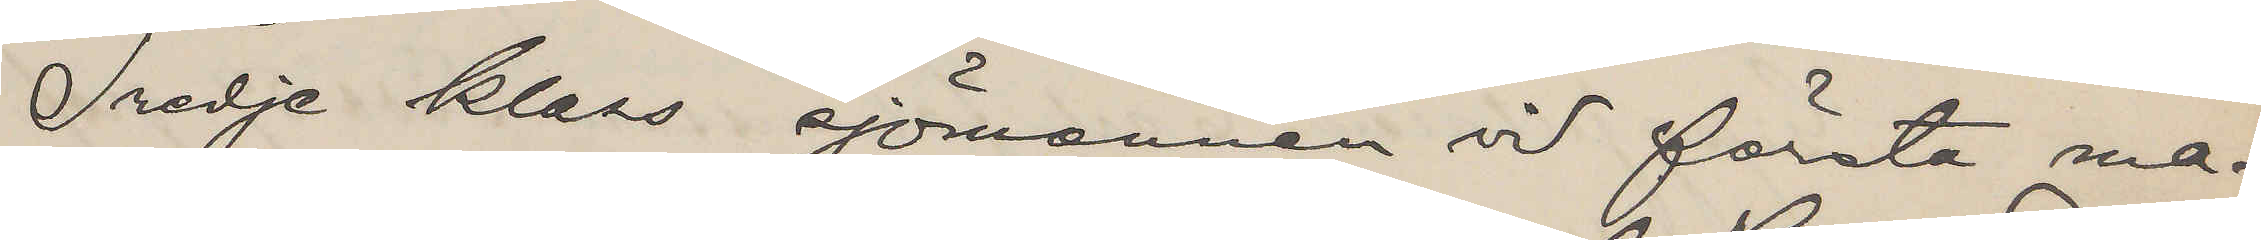Tredje klass sjömannen vid första ma¬
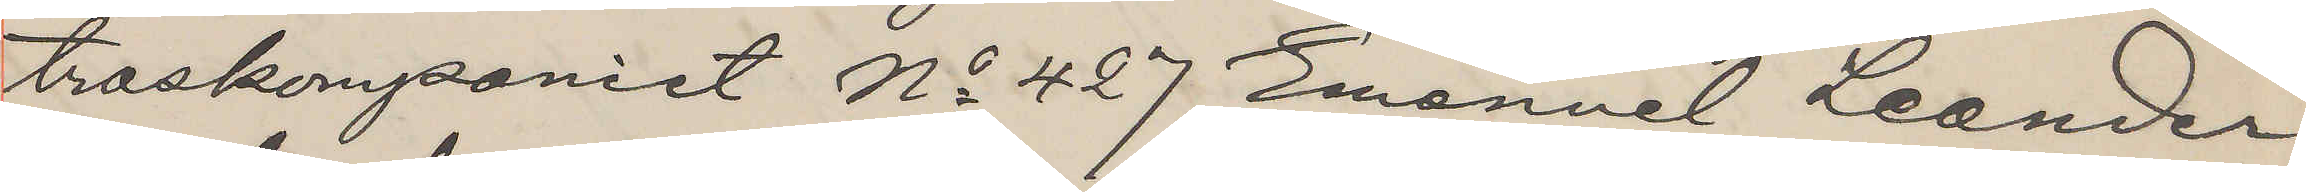troskompaniet No 427 Emanuel Leander
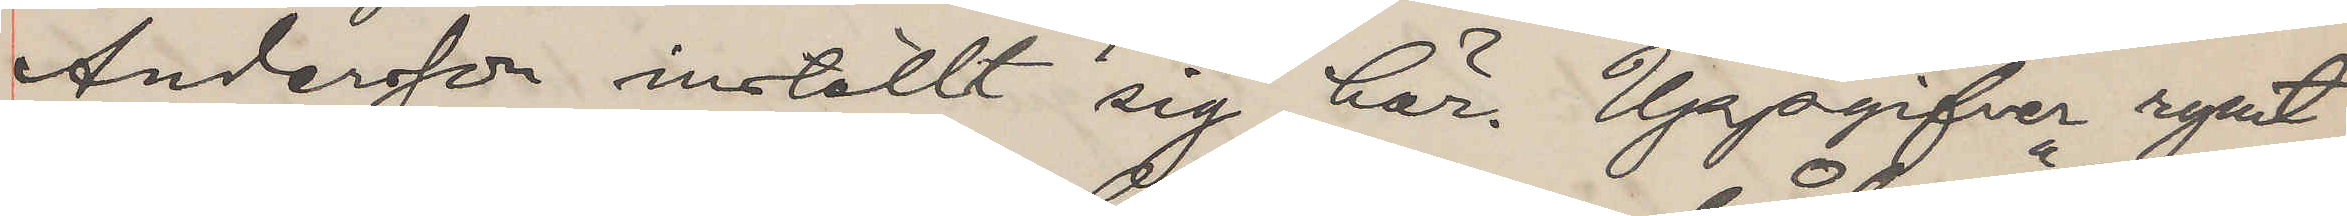Andersson inställt sig här. Uppgifver rymt
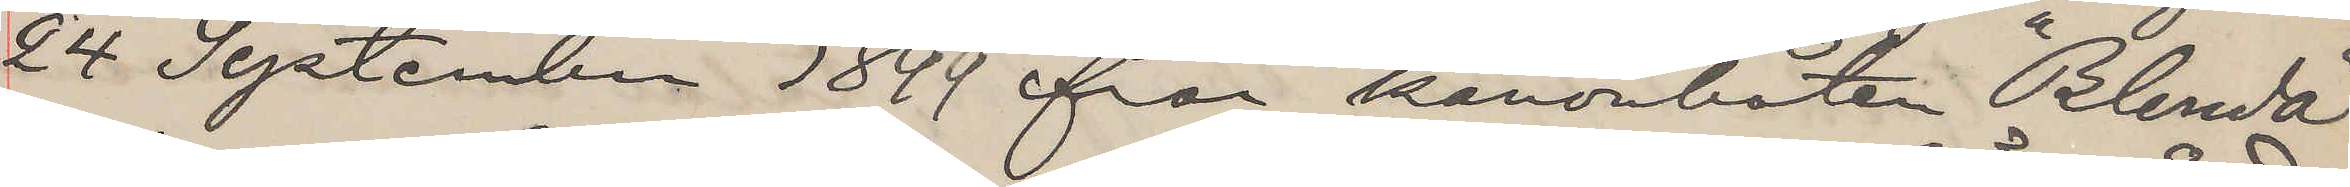24 September 1899 från kanonbåten "Blenda"
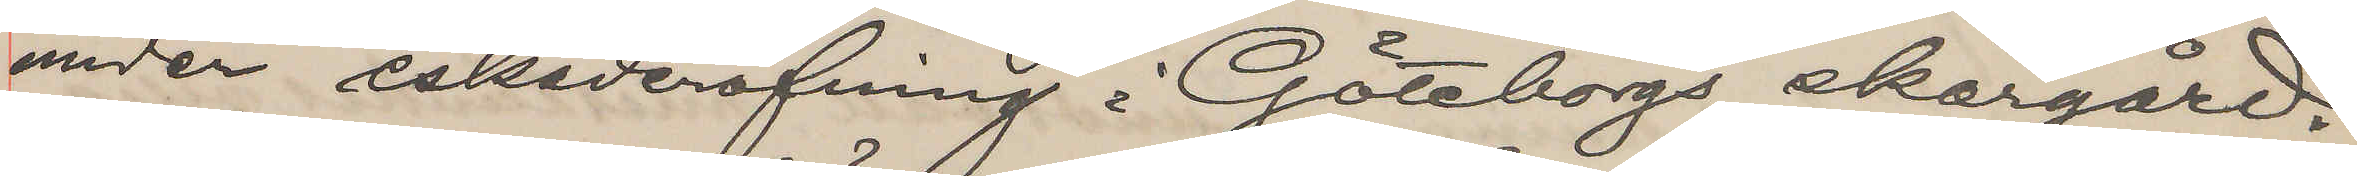under eskaderöfning i Göteborgs skärgård.
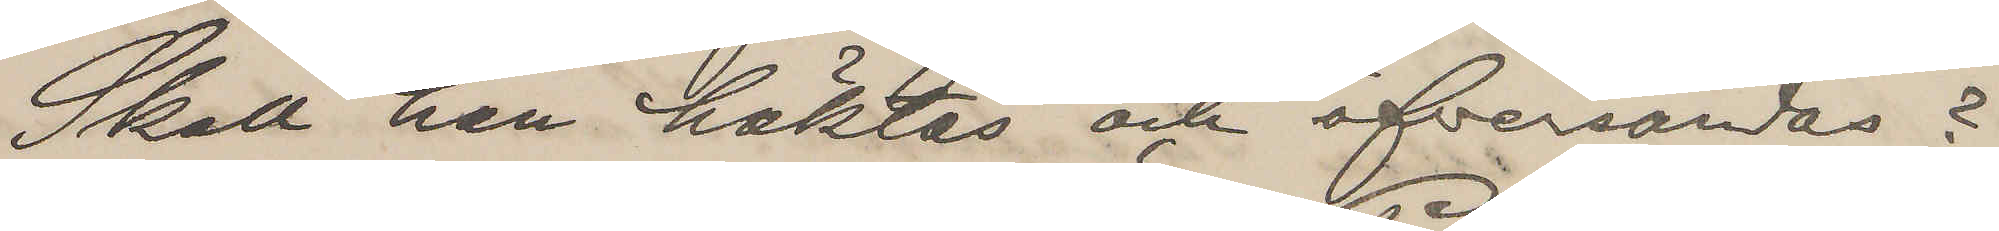Skall han häktas och öfersändas?
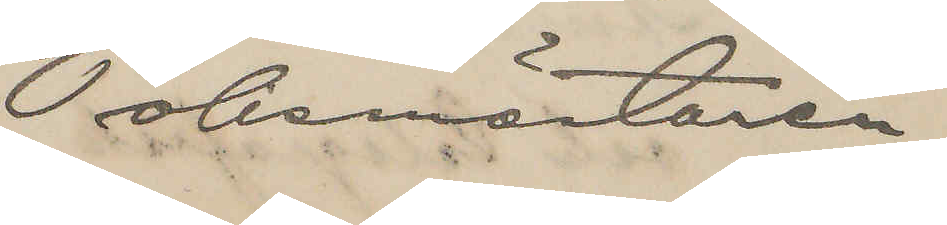Polismästaren
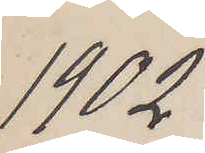1902
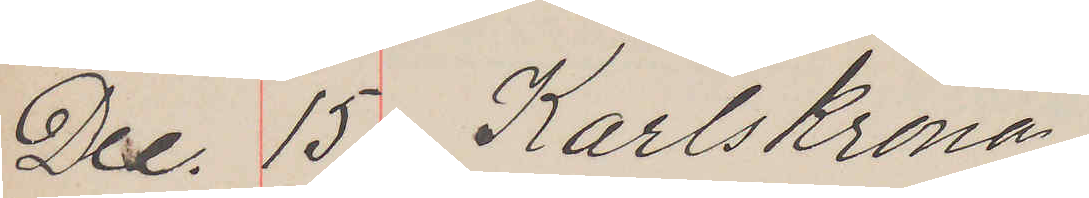Dec. 15 Karlskrona
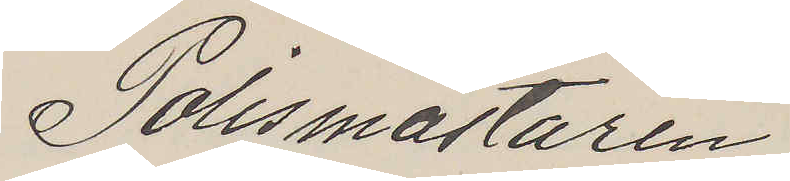Polismästaren
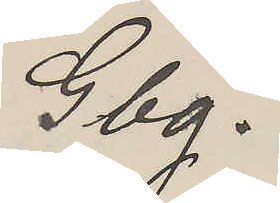Gbg.
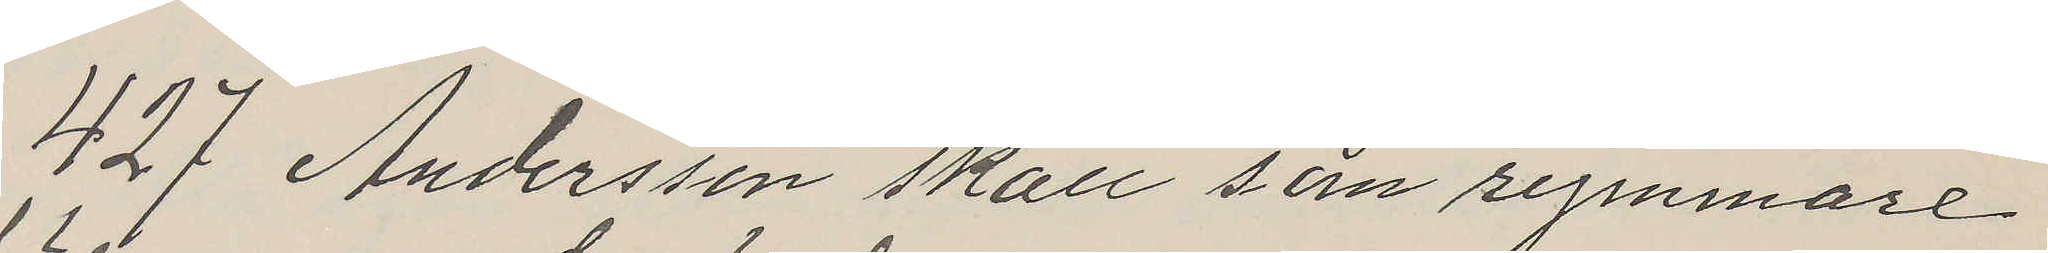427 Andersson skall som rymmare
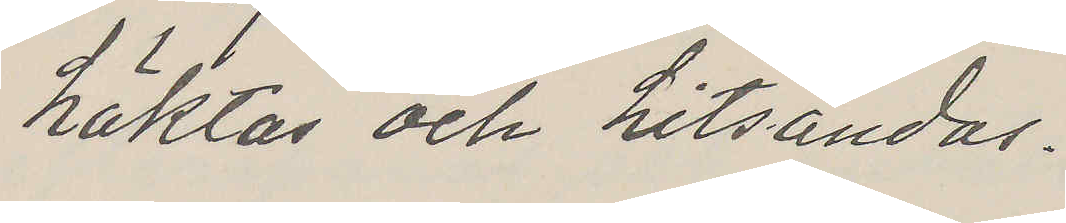häktas och hitsändas.
